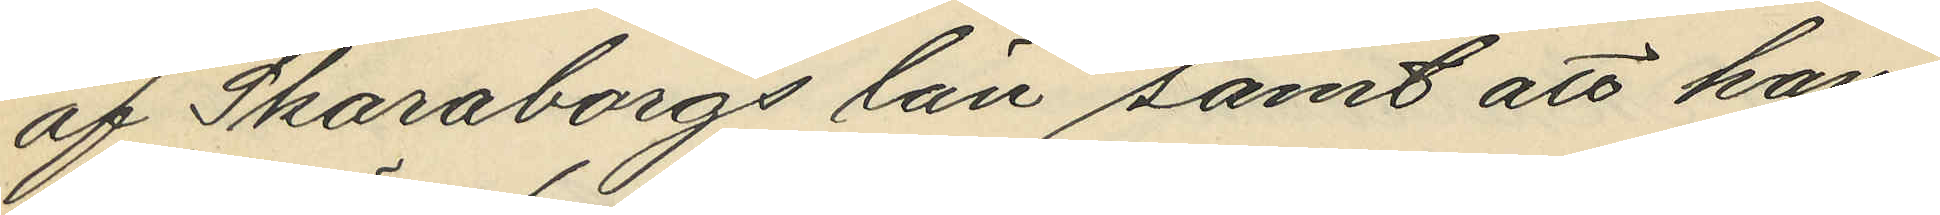af Skaraborgs län samt att han
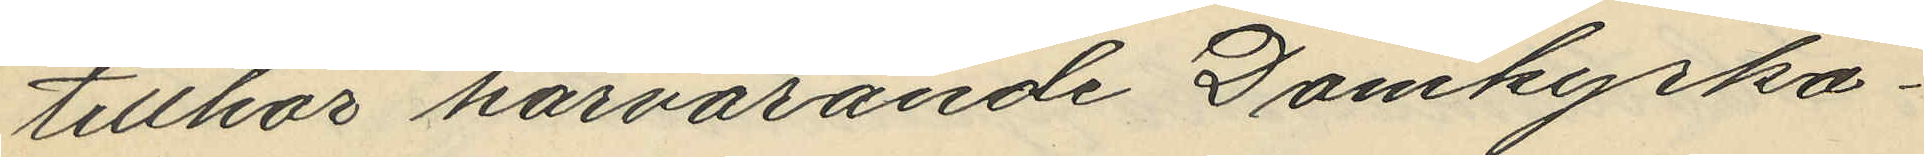tillhör härvarande Domkyrko¬
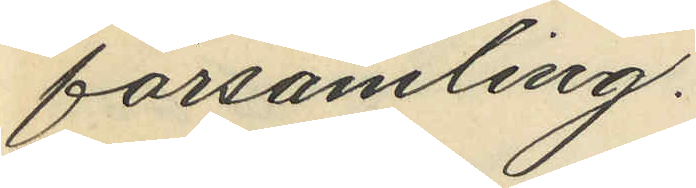församling.
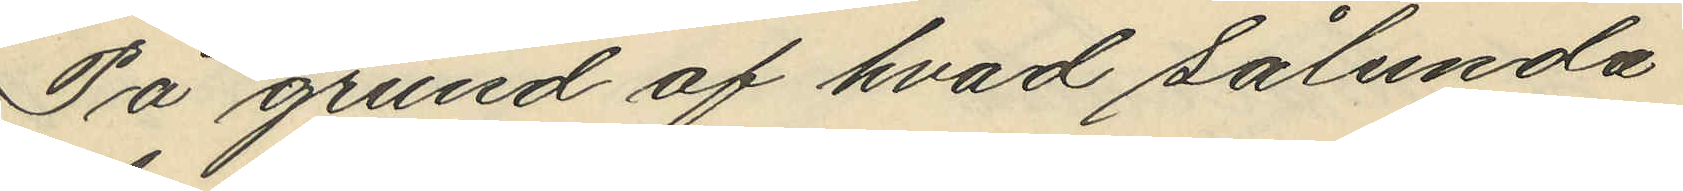På grund af hvad sålunda
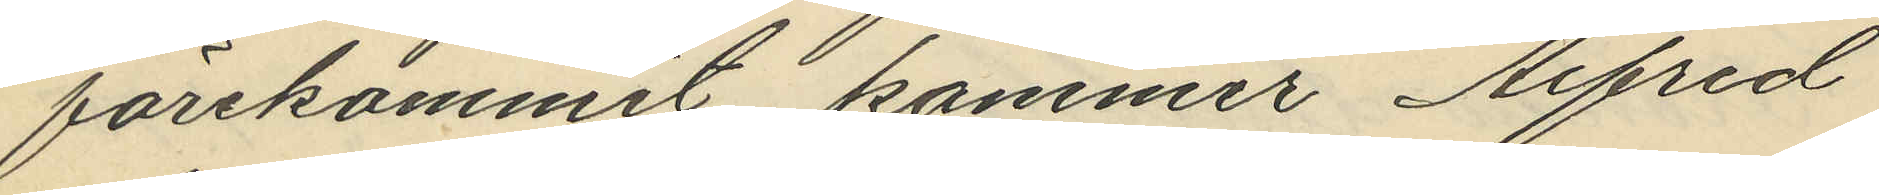förekommit kommer Alfred
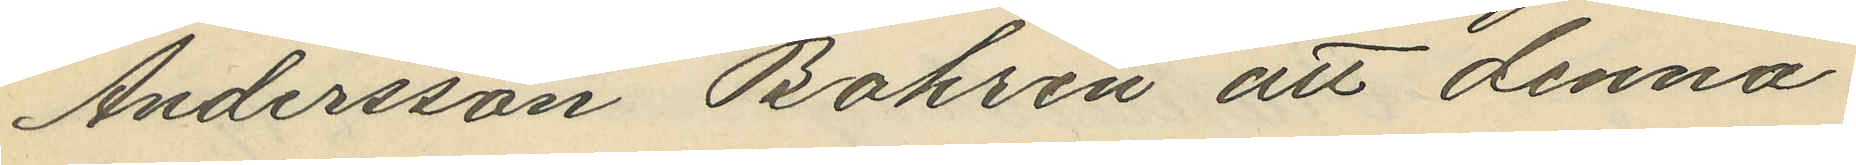Andersson Bohrin att denna
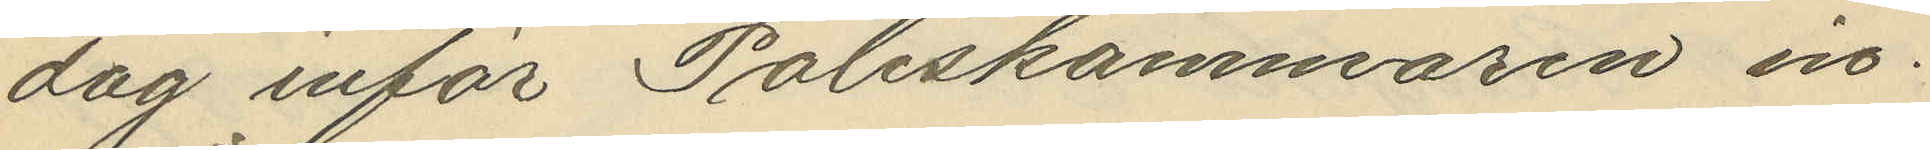dag inför Poliskammaren in¬
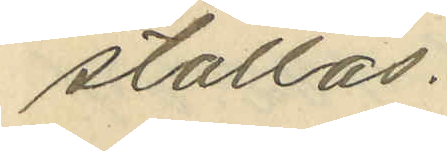ställas.
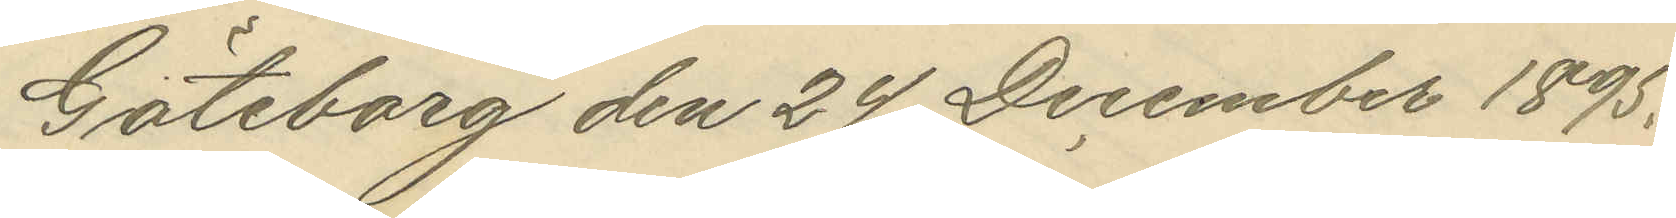Göteborg den 24 December 1895.
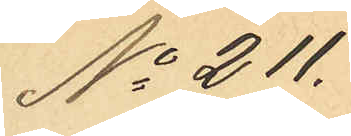No 211.
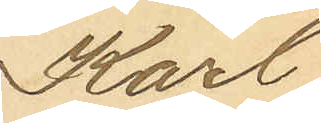Karl
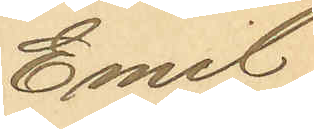Emil
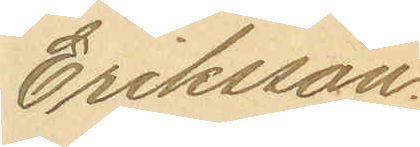Eriksson.
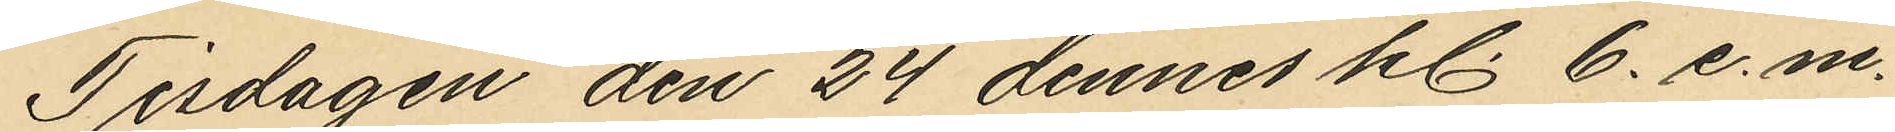Tisdagen den 24 dennes kl. 6. e.m.
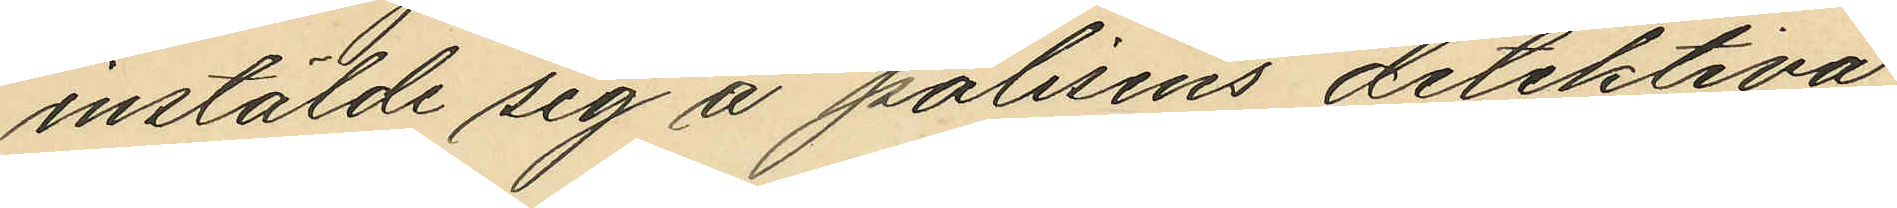instälde sig å polisens detektiva
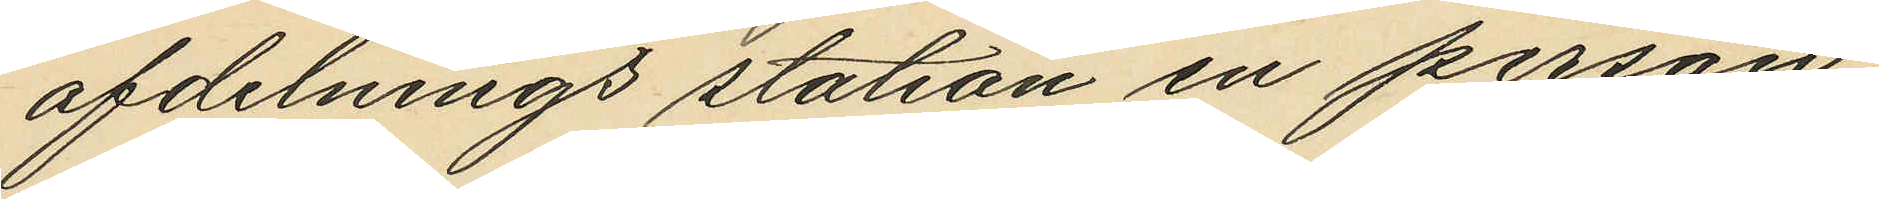afdelnings station en person,
